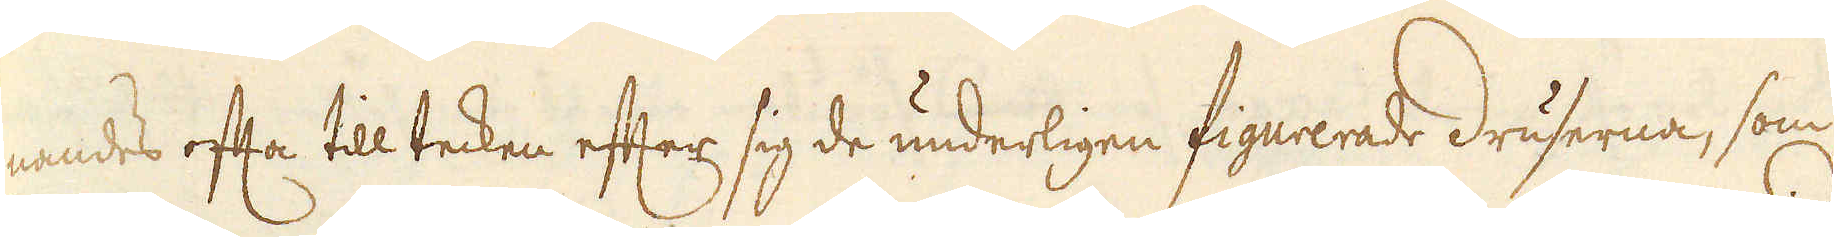nandes ofta till tecken efter sig de underligen figurerade druserna, som
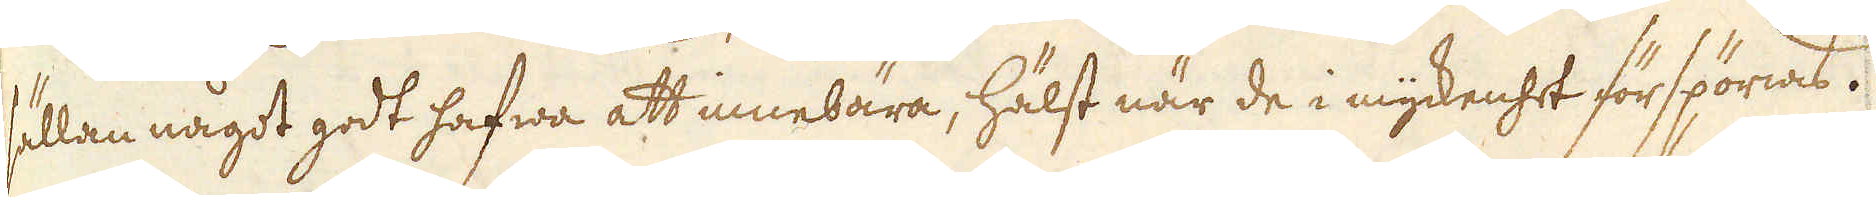sällan något godt hafwa att innebära, hälst när de i myckenhet förspörias.
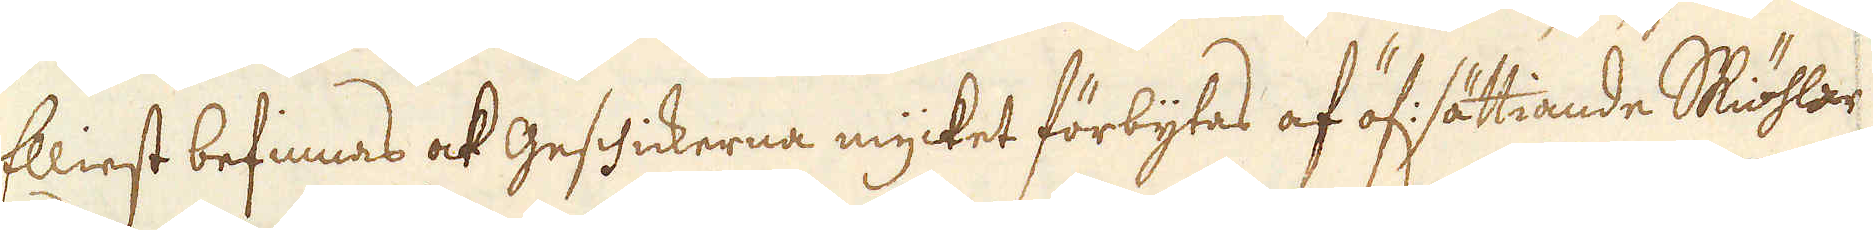Elliest befinnas ock Geschickerna mycket förbytas af öf: sättiande Skiöhlar
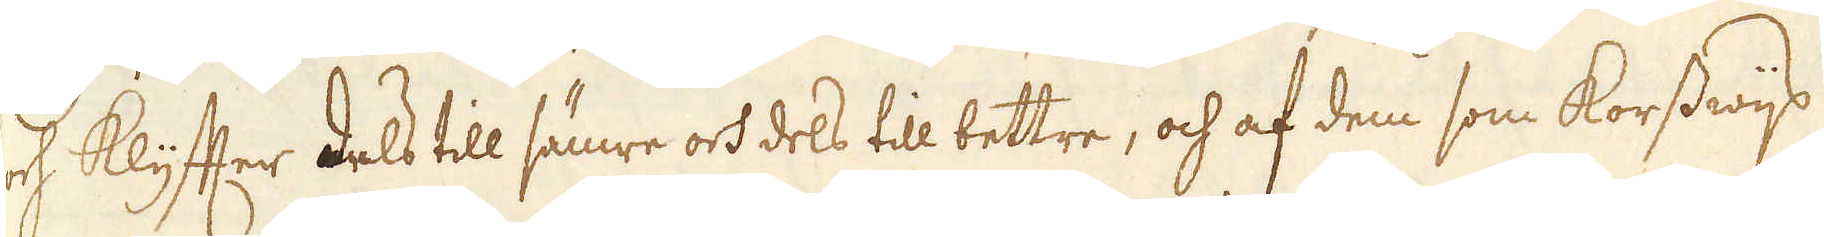och Klyfter dels till sämre och dels till bettre, och af dem som korsswijs
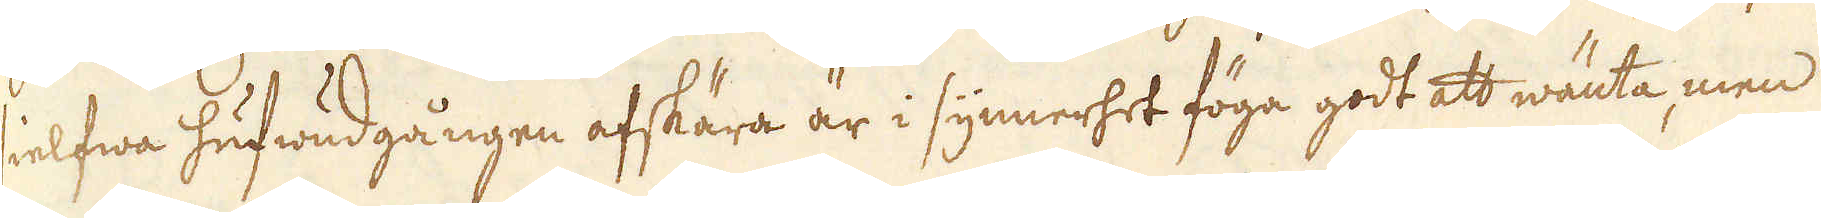sielfwa hufwudgången afskära är i synnerhet föga godt att wänta, men
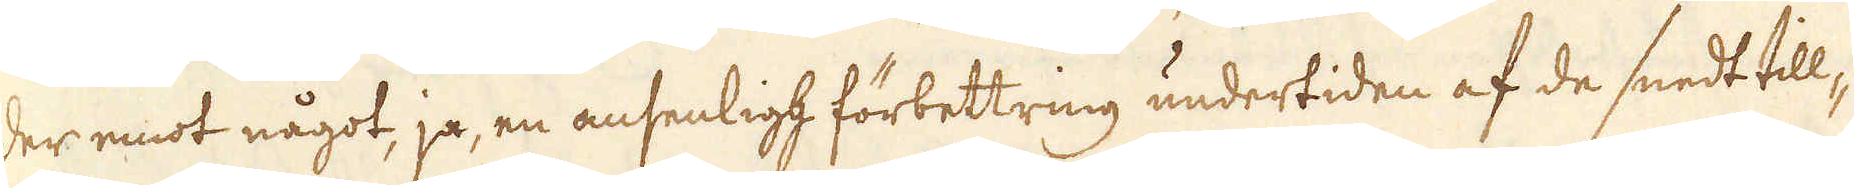der emot något, ja, en ansenligh förbettring undertiden af de snedt till-
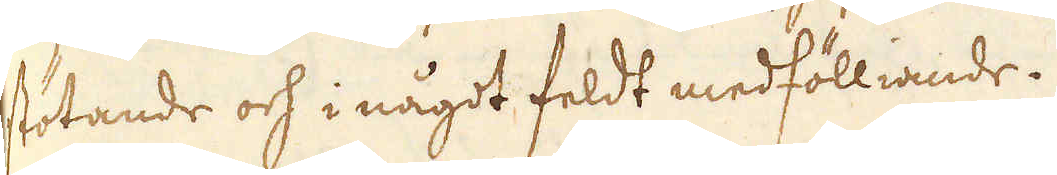stötande och i något feldt medfölliande.
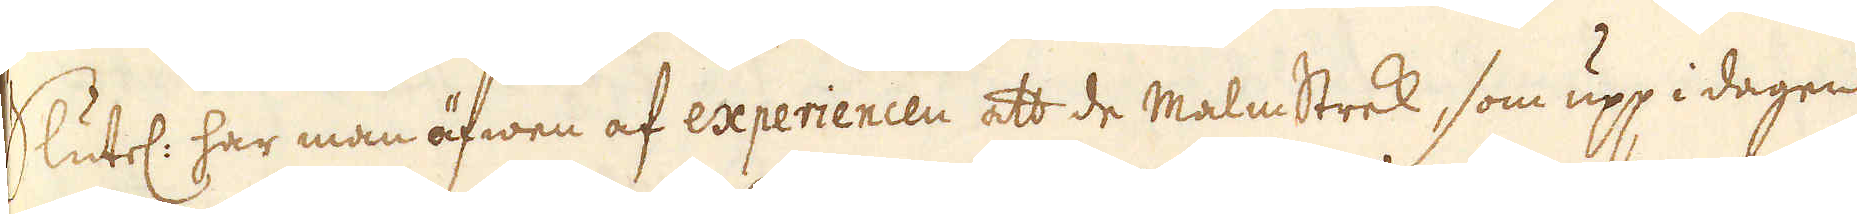Slutel: har man äfwen af experiencen att de Malmstrek, som upp i dagen
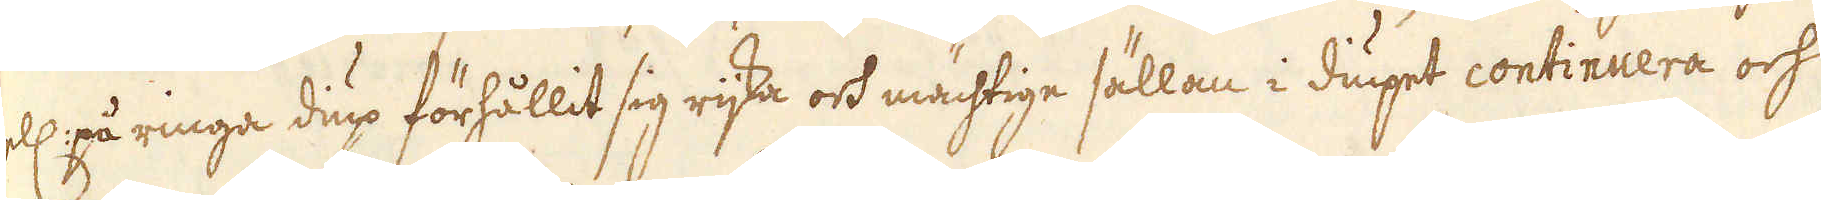ell: på ringa diup förhållit sig rijka och mächtige sällan i diupet continuera och
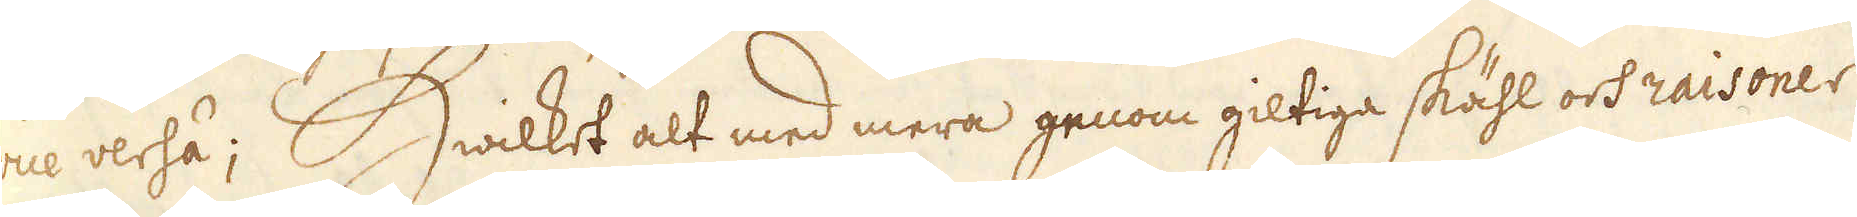vice versa; Hwilket alt med mera genom giltiga skähl och raisoner
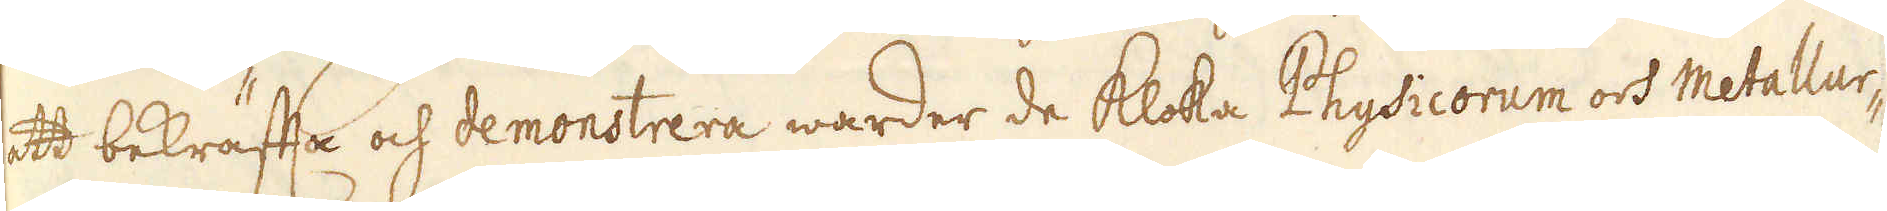att bekräffta och demonstrera warder de kloka Physicorum och Metallur-
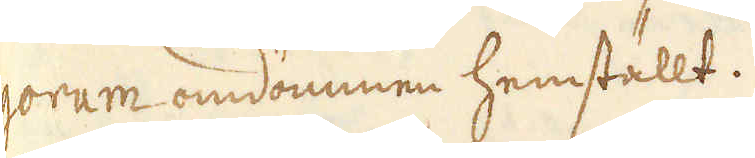gorum omdömmen hemställt.
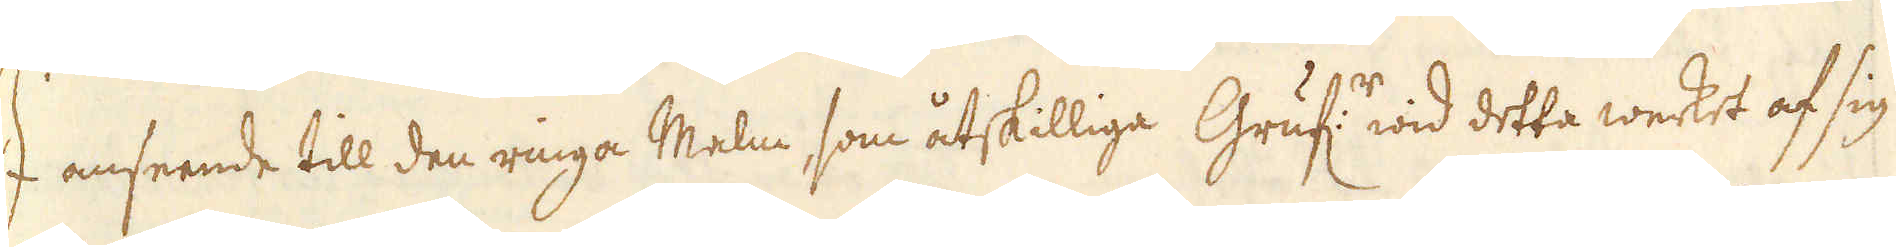I anseende till den ringa Malm, som åtskilliga Gruf:r wid detta werket af sig
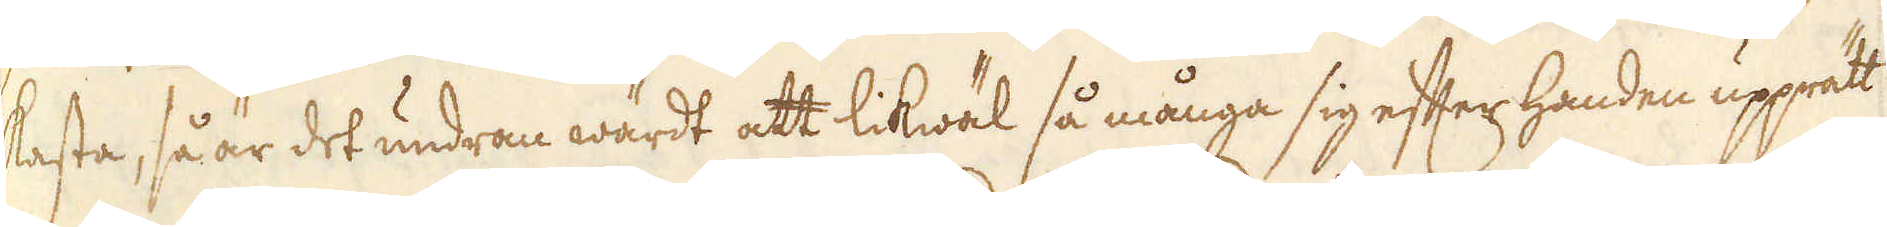kasta, så är det undran wärdt att likwäl så många sig efter handen upprätt
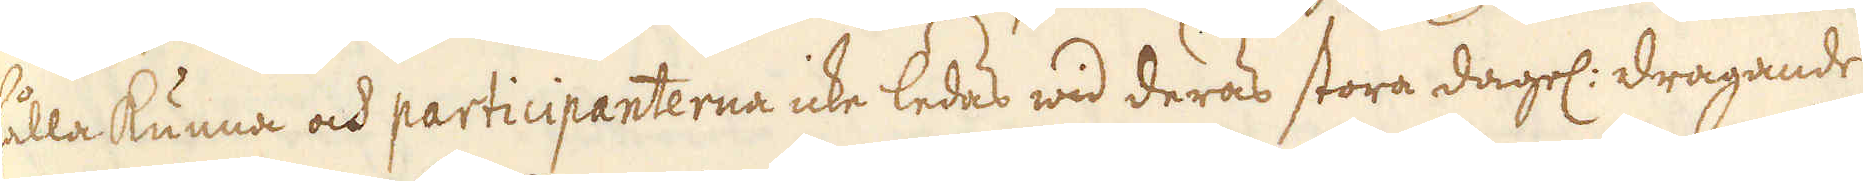hålla kunna och participanterna icke ledas wid deras stora dagel: dragande
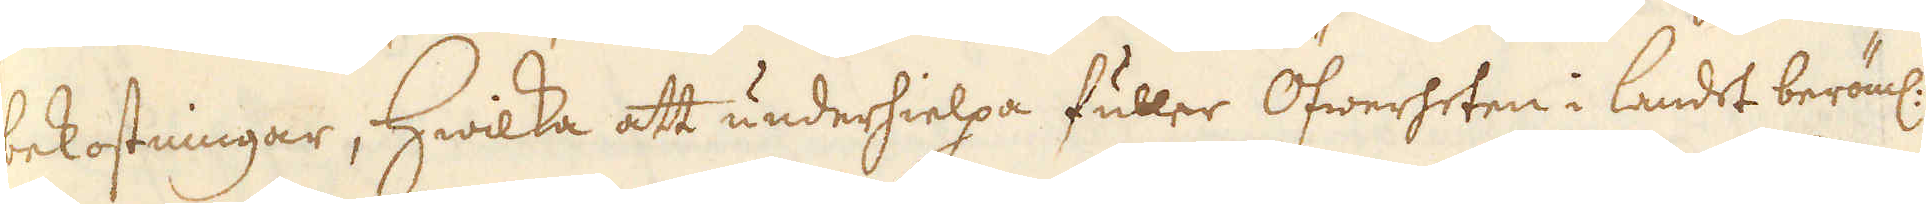bekostningar, Hwilka att underhielpa fuller Öfwerheten i landet beröml:
